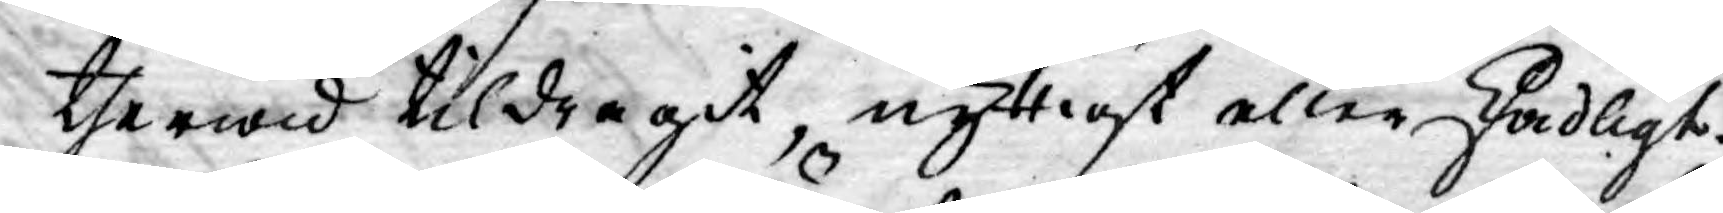therwid tildragit, nyttigt eller skadligt.
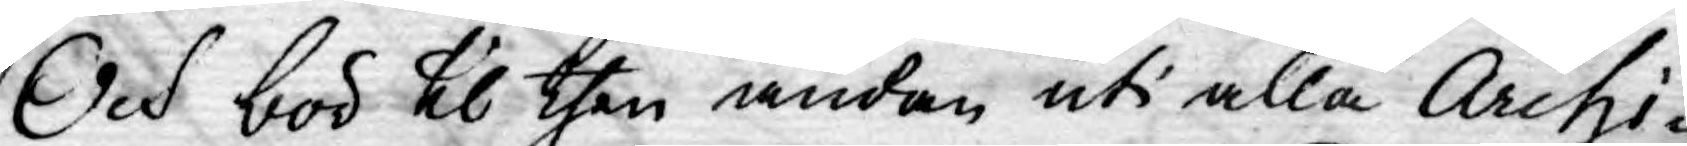Och bör til then ändan uti alla Archi-
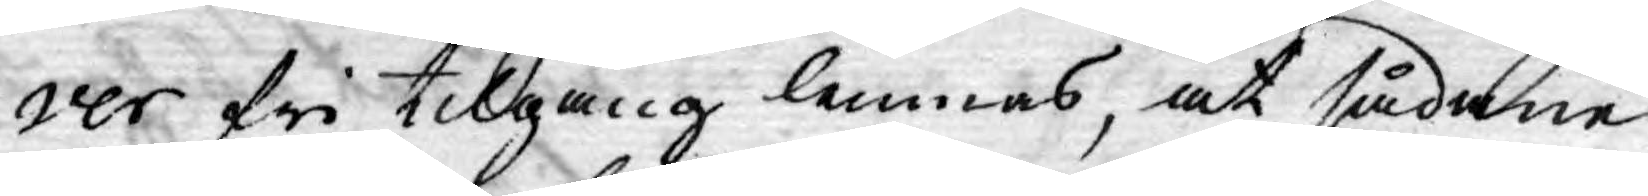ver fri tillgång lemnas, at sådane
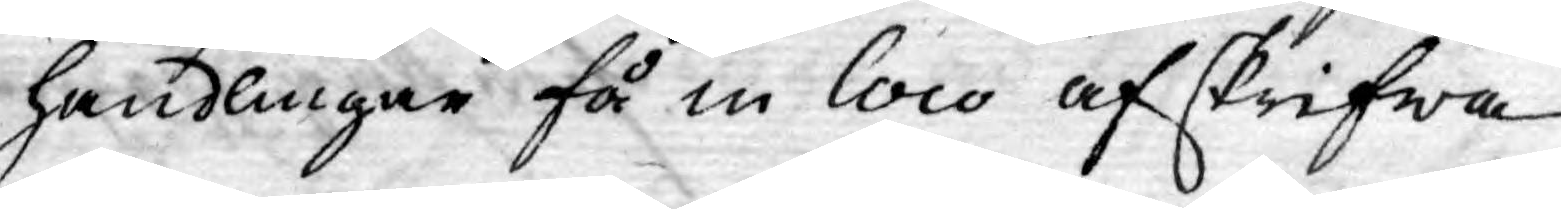handlingar få in loco afskrifwa
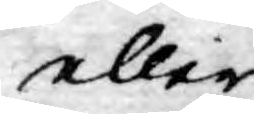eller
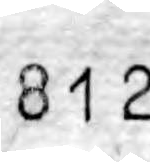812
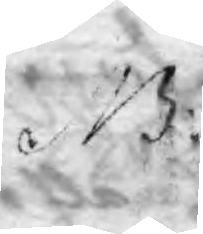NB:
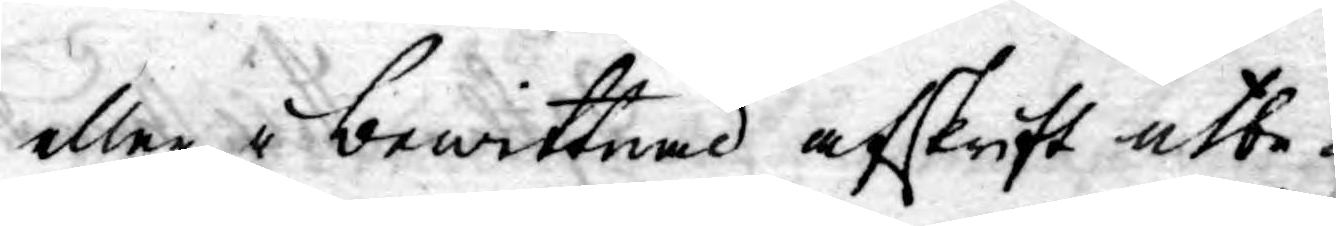eller i bewittnad afskrift utbe¬
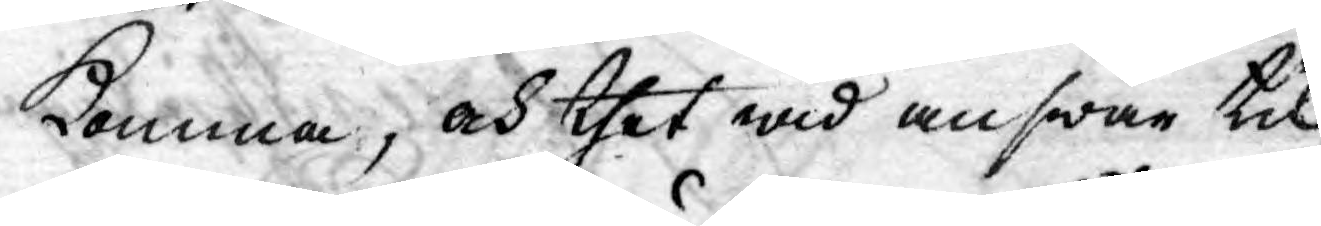komma, och thet wid answar til
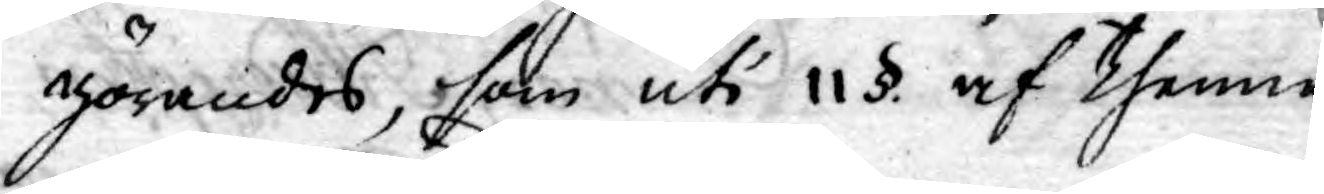görandes, som uti 11 §. af thenne
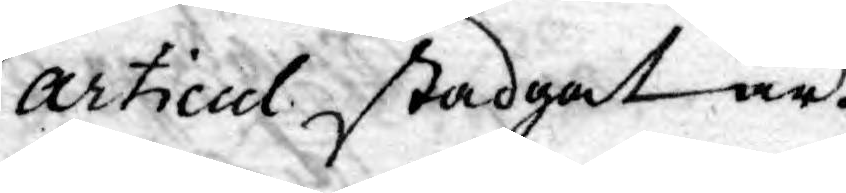Articul stadgat är.
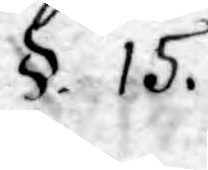§. 15.
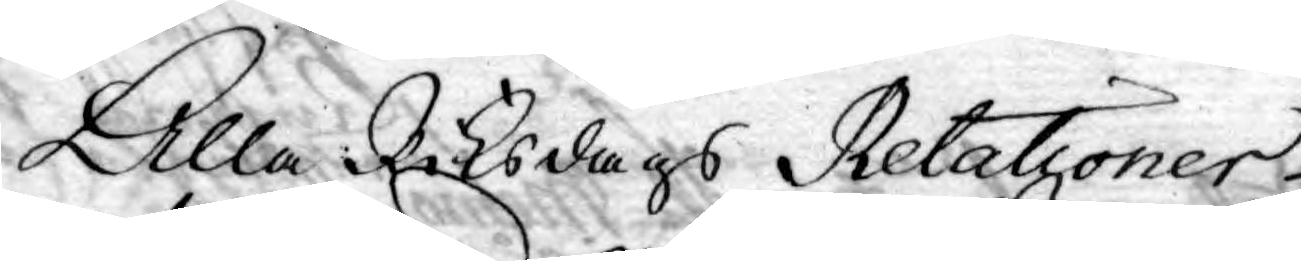Alla Riksdags Relationer
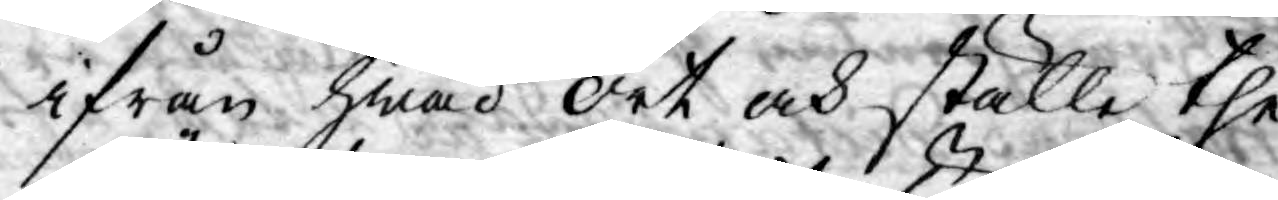ifrån hwad ort och ställe the
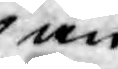än
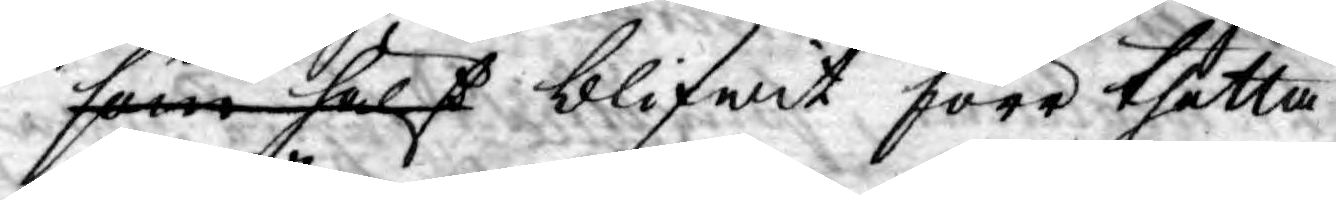som hälst blifwit förr thetta
